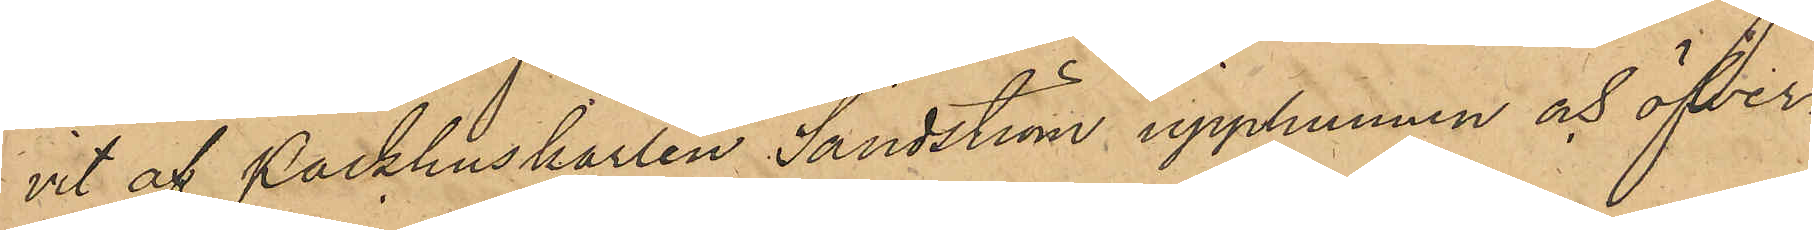vit af Packhuskarlen Sandström upphunnen och öfver¬
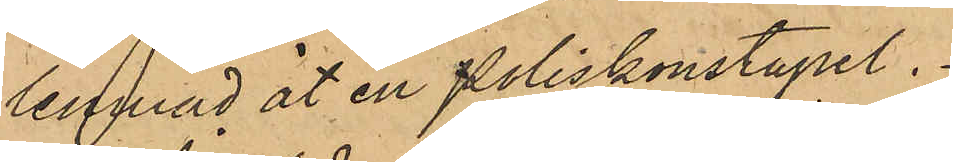lemnad åt en Poliskonstapel.
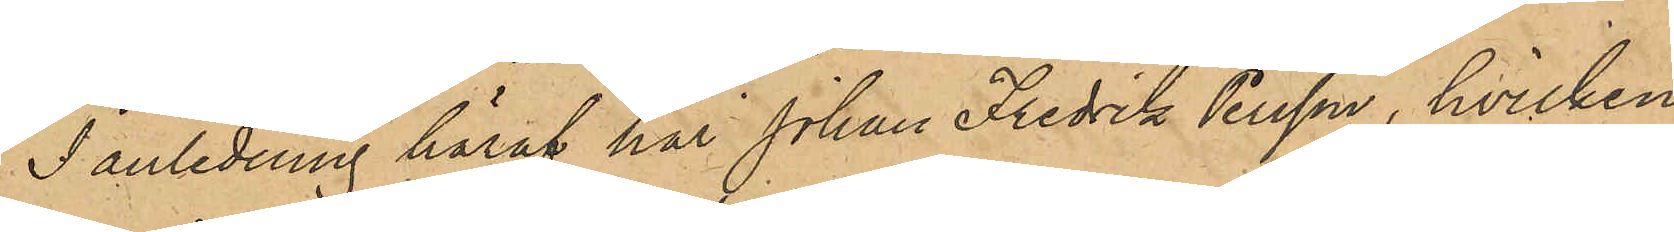I anledning häraf har Johan Fredrik Persson, hvilken
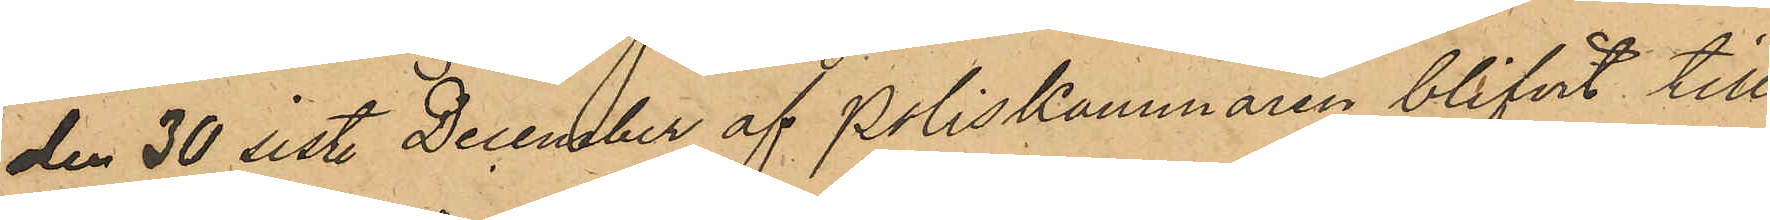den 30 sist. December af Poliskammaren blifvit till
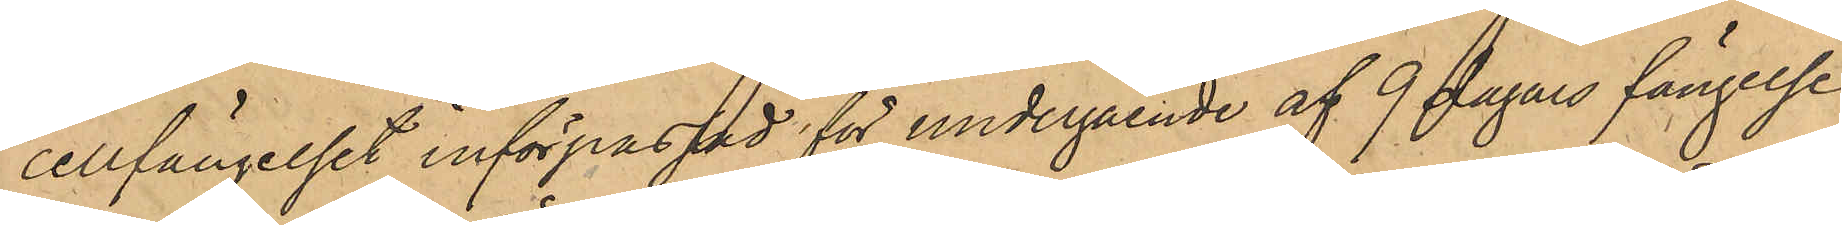cellfängelset införpassad för undergående af 9 dagars fängelse
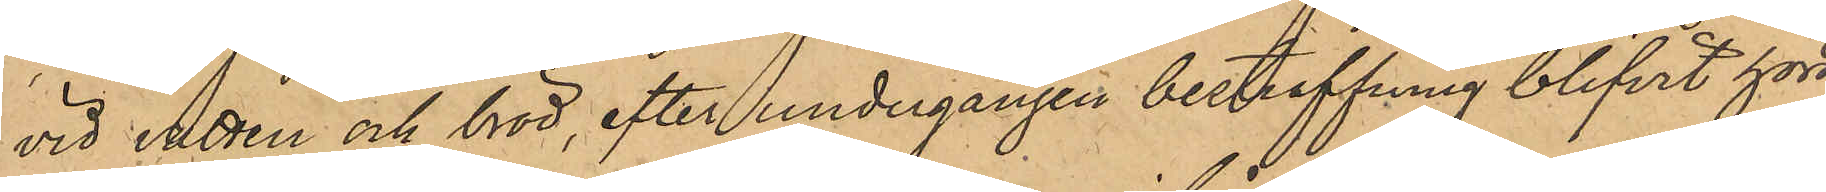vid vatten och bröd, efter undergången bestraffning blifvit hörd,
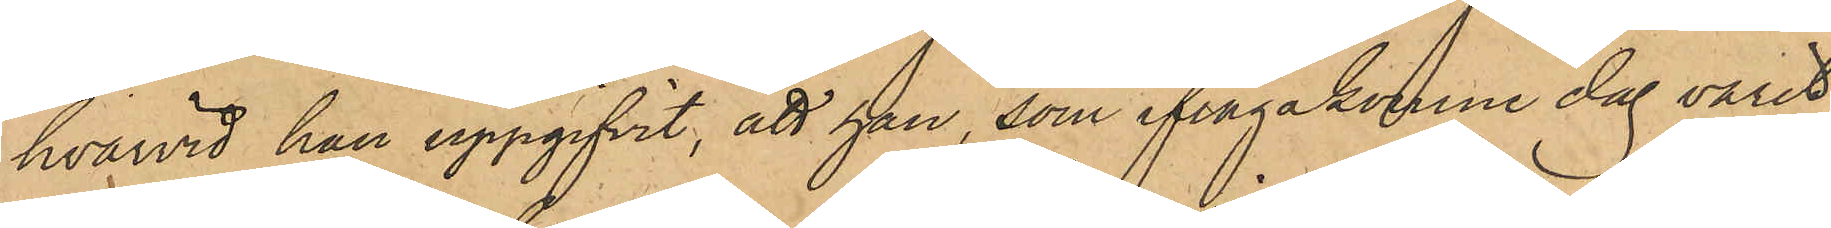hvarvid han uppgifvit, att han, som ifrågakomne dag varit
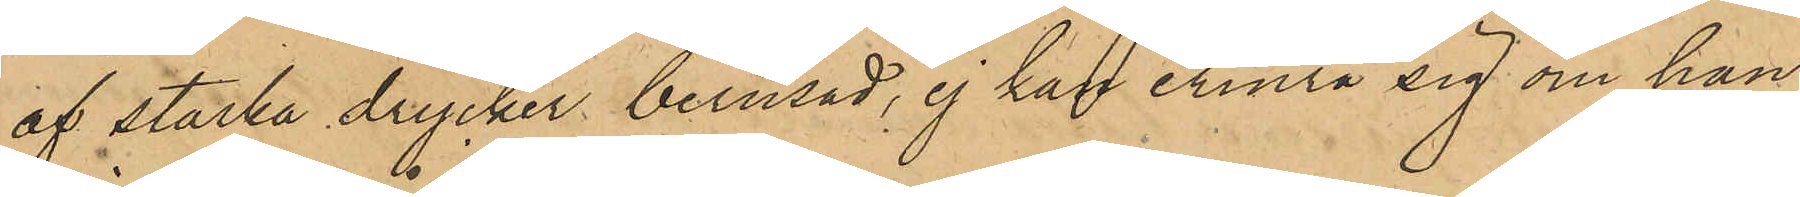af starka drycker berusad, ej kan erinra sig om han
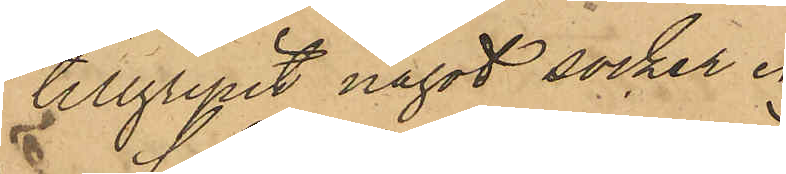tillgripit något socker.
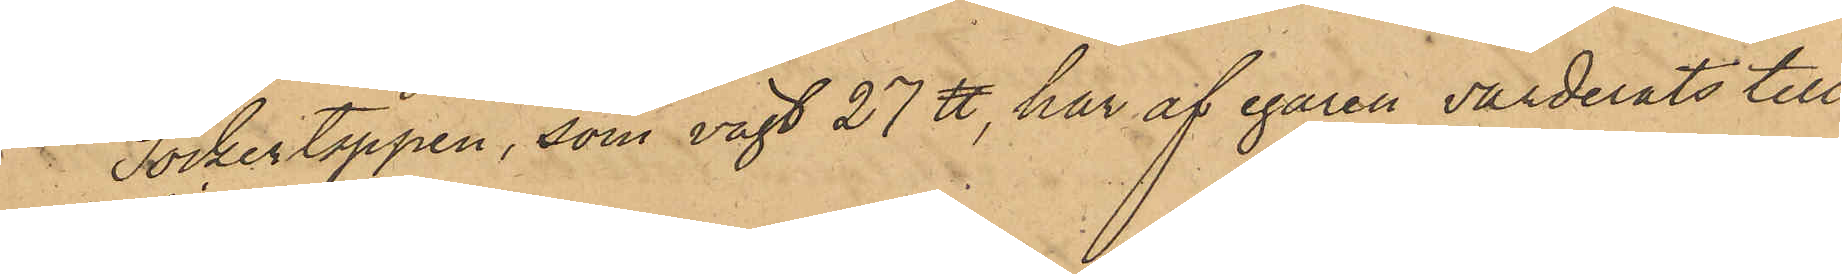Sockertoppen, som vägt 27 ℔, har af egaren värderats till
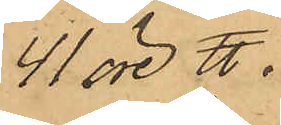41 öre ℔.
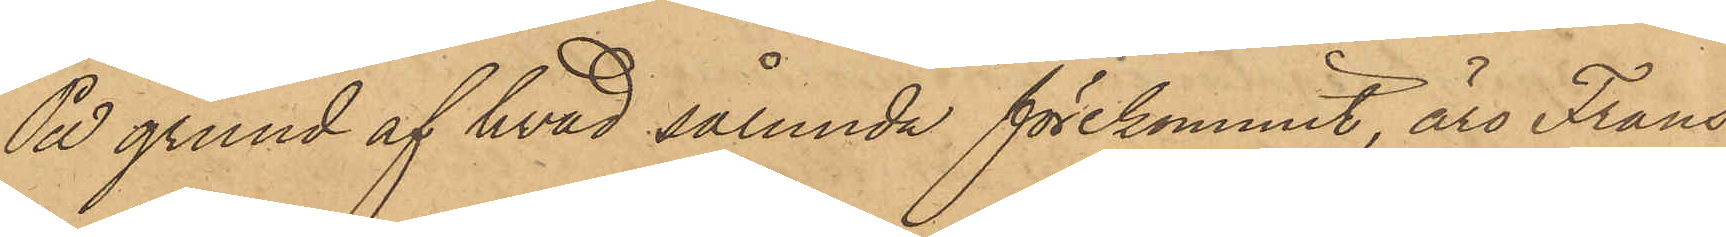På grund af hvad sålunda förekommit, äro Frans
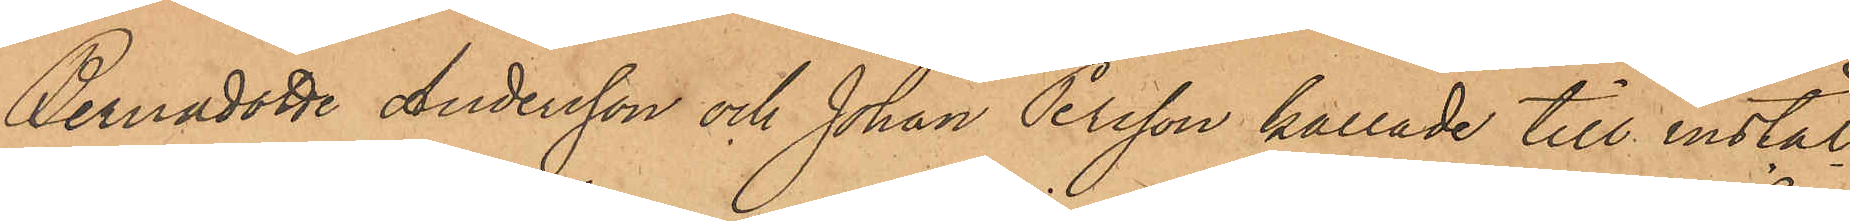Bernadotte Andersson och Johan Persson kallade till instäl¬
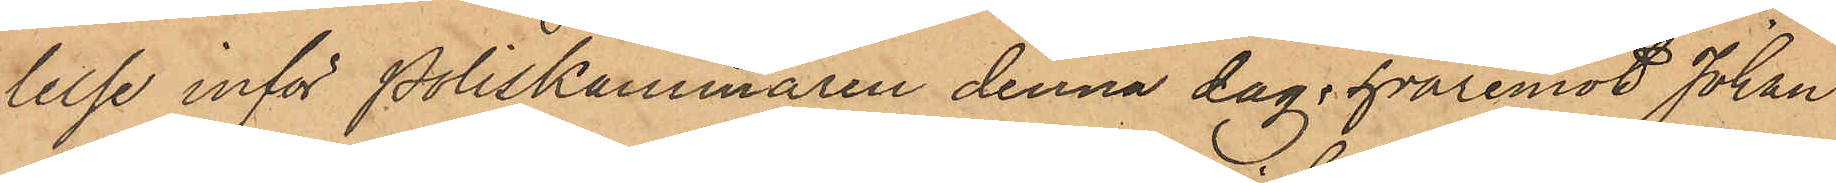lelse inför Poliskammaren denna dag, hvaremot Johan
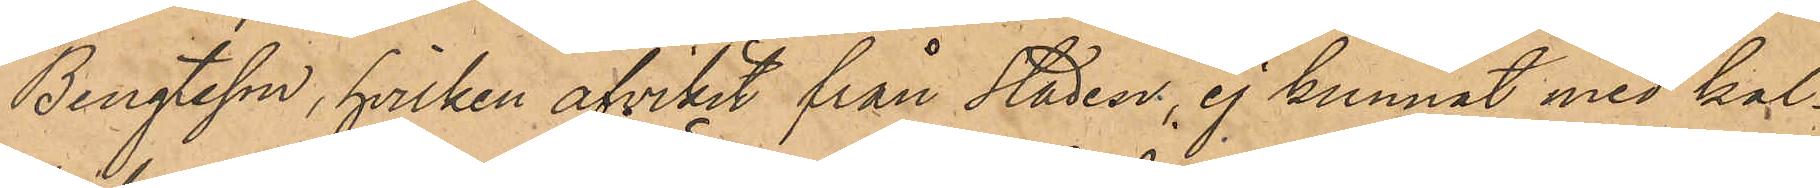Bengtsson, hvilken afvikit från staden, ej kunnat med kal¬
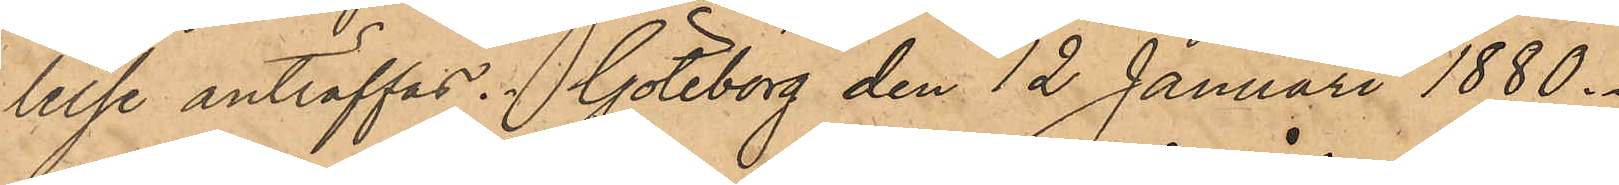lelse anträffas. Göteborg den 12 Januari 1880.
